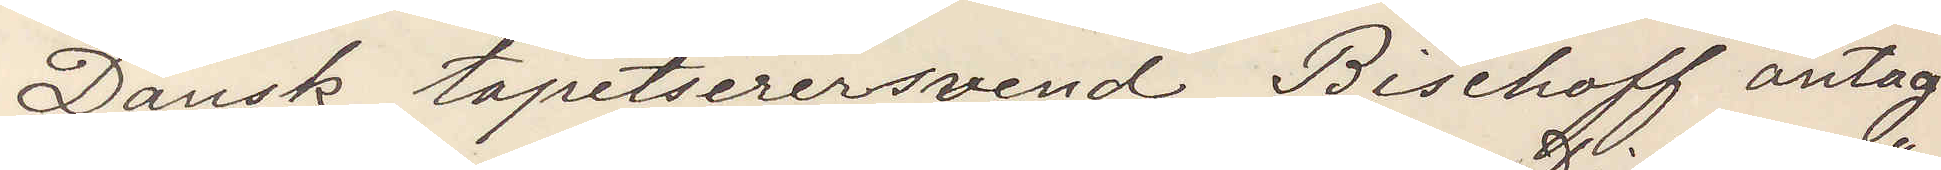Dansk tapetserersvend Bischoff antag¬
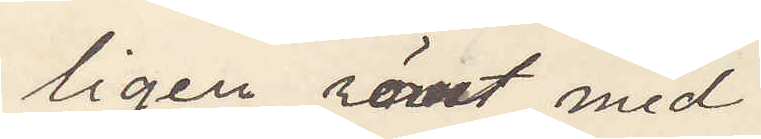ligen römt med
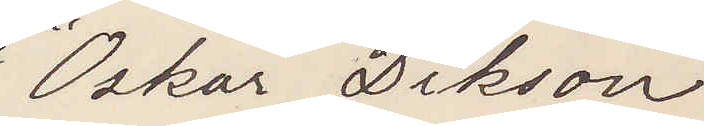"Oskar Dickson"
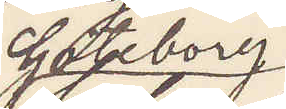Göteborg
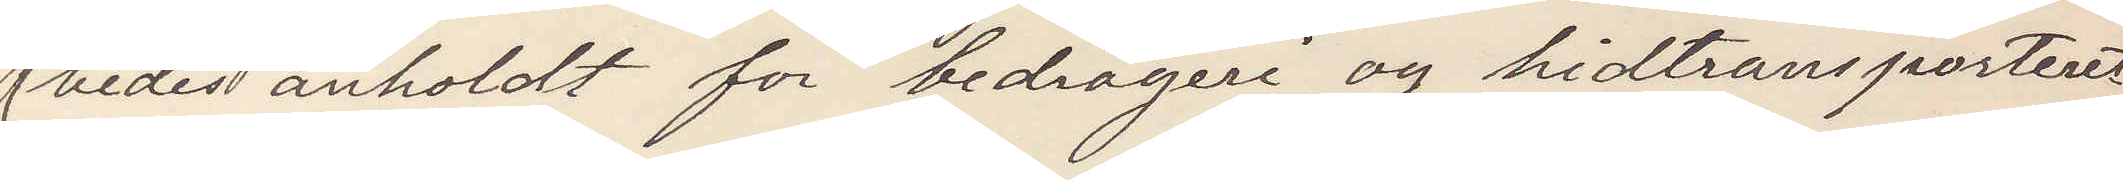bedes anholdt för bedrageri og hidtransporteret
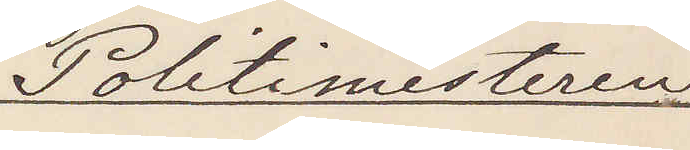Politimesteren
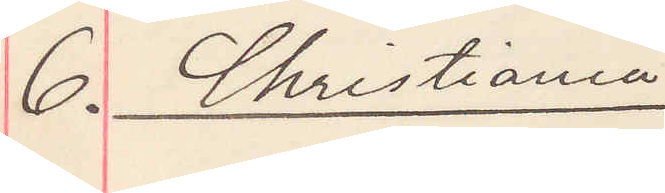6. Christiania
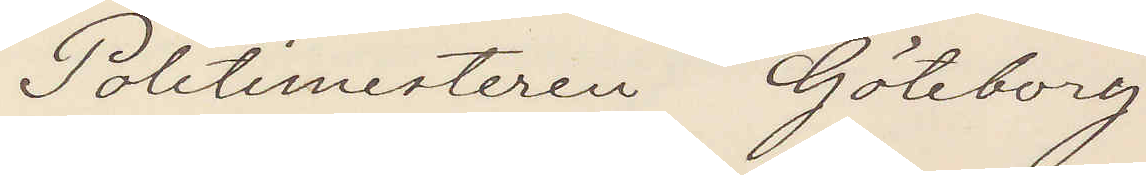Politimesteren Göteborg
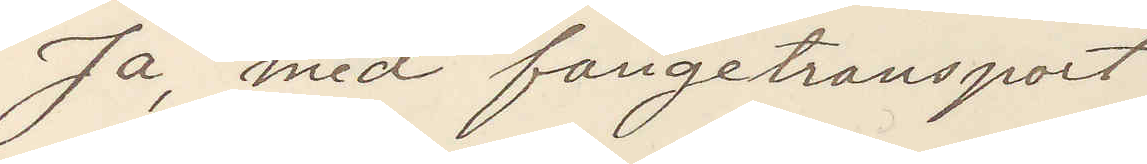Ja, med fangetransport.
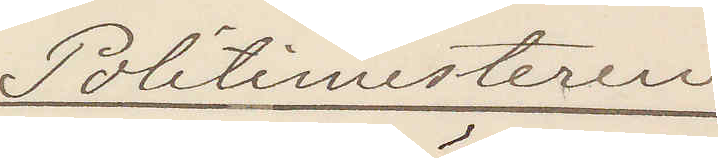Politimesteren
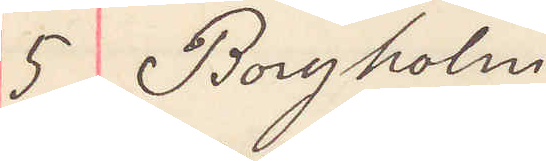5 Borgholm
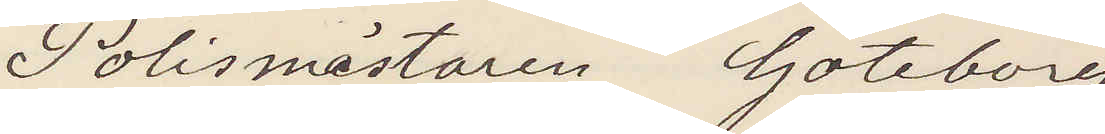Polismästaren Göteborg
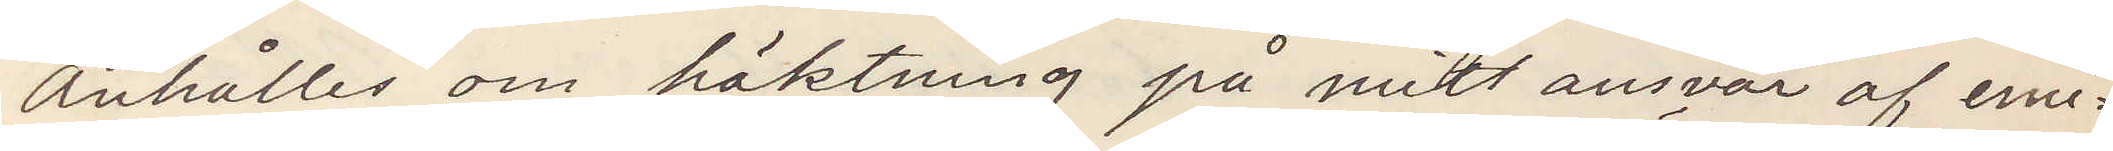Anhåller om häktning på mitt ansvar af emi¬
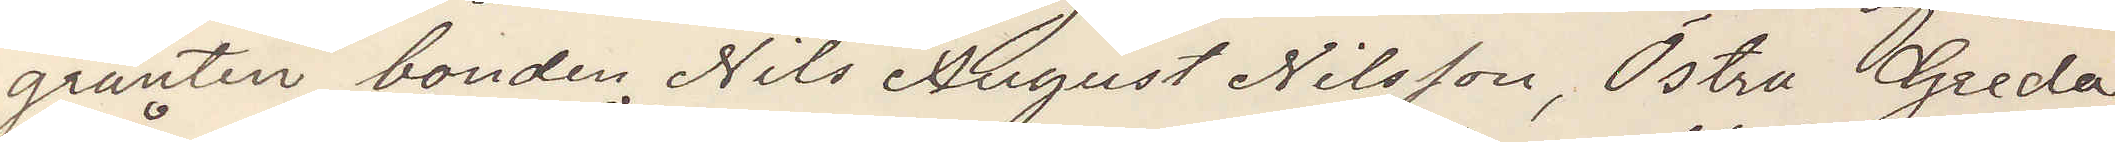granten bonden Nils August Nilsson, Östra Greda,
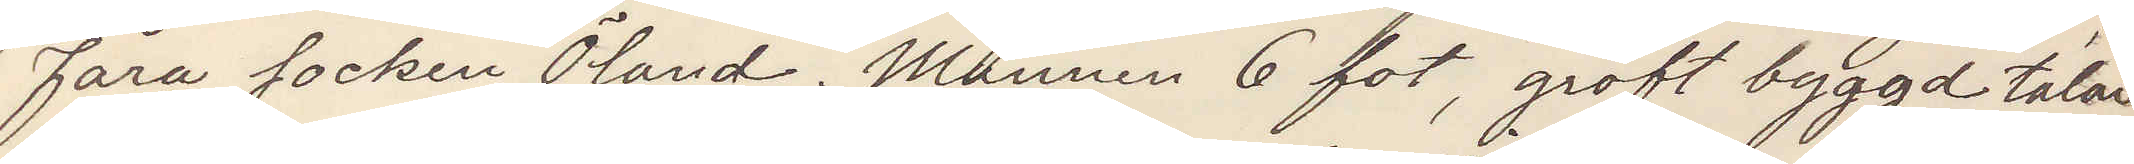Fåra socken Öland. Mannen 6 fot, groft byggd talar
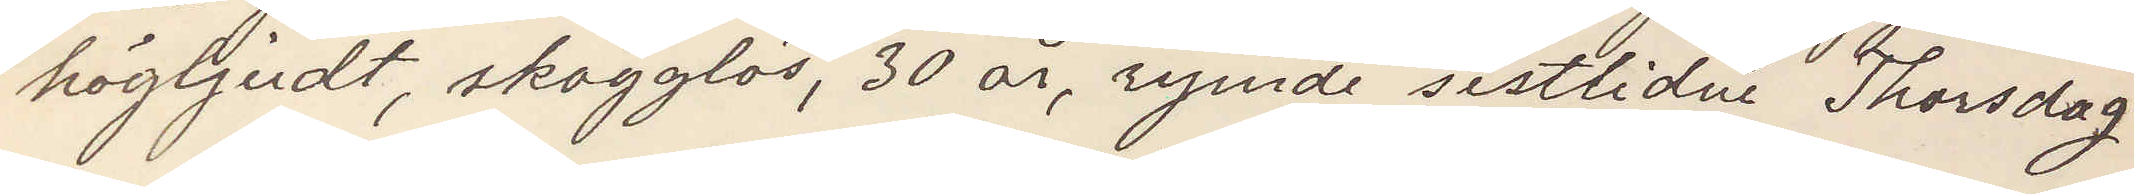högljudt, skägglös, 30 år, rymde sistlidne Thorsdag.
